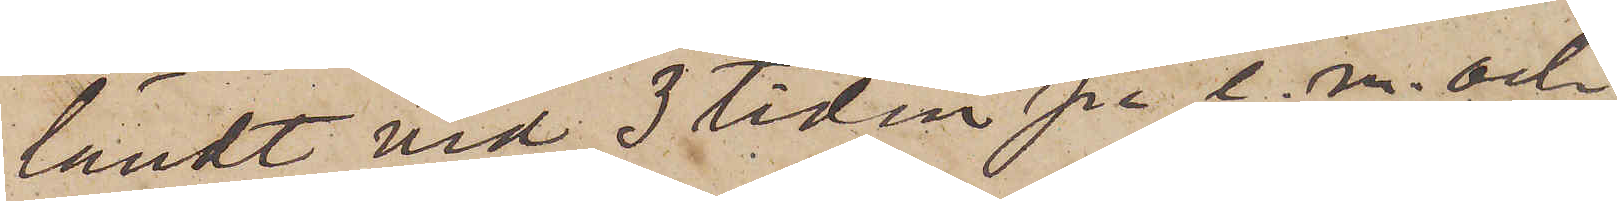ländt vid 3 tiden på e m. och
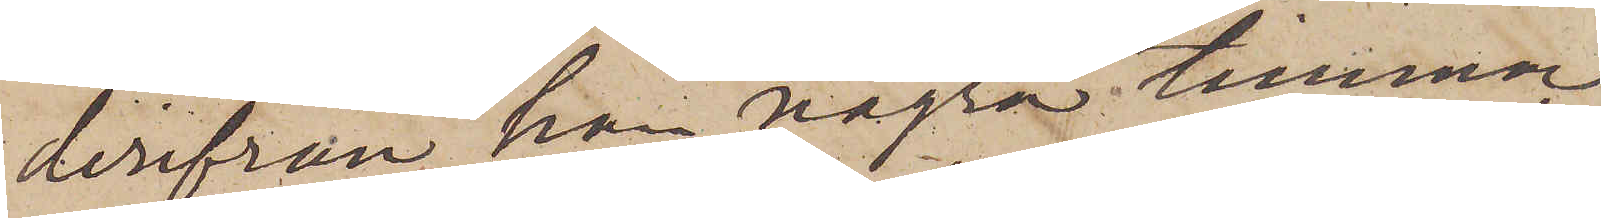derifrån han några timmar
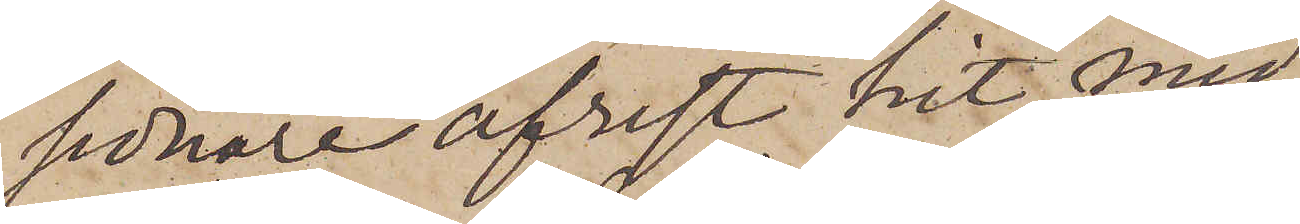sednare afrest hit med
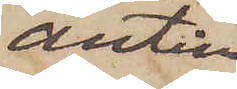antin¬
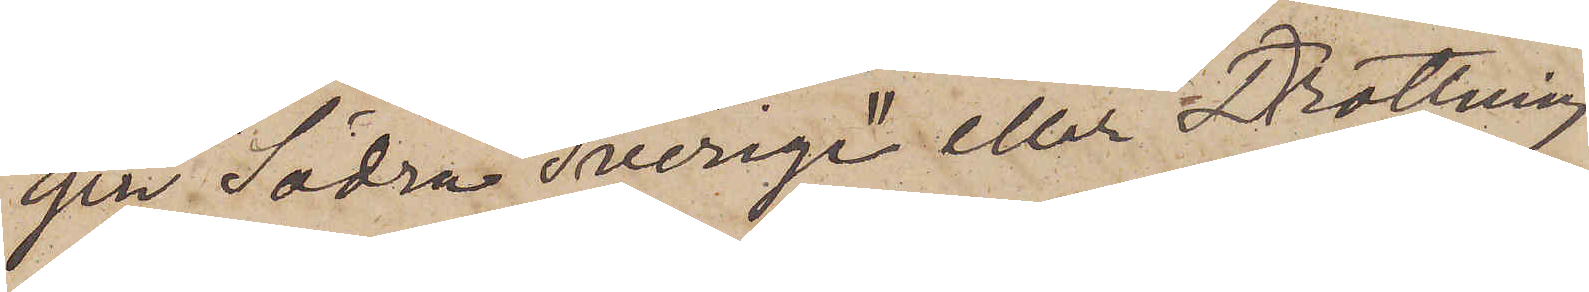gen "Södra Sverige" eller "Drottning
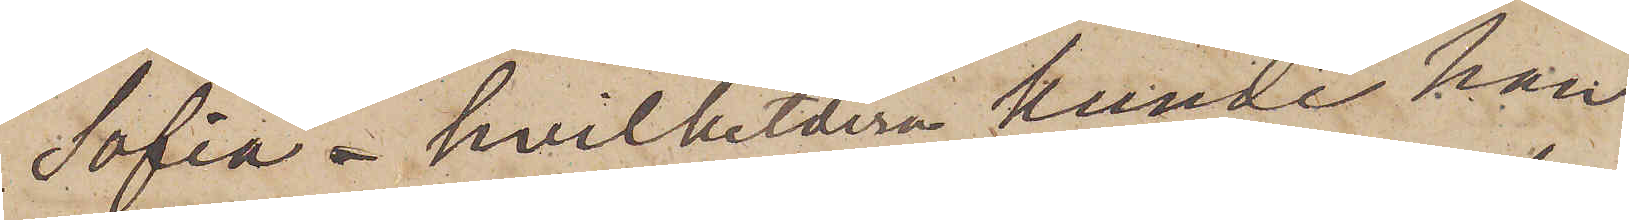Sofia",  hvilketdera kunde han
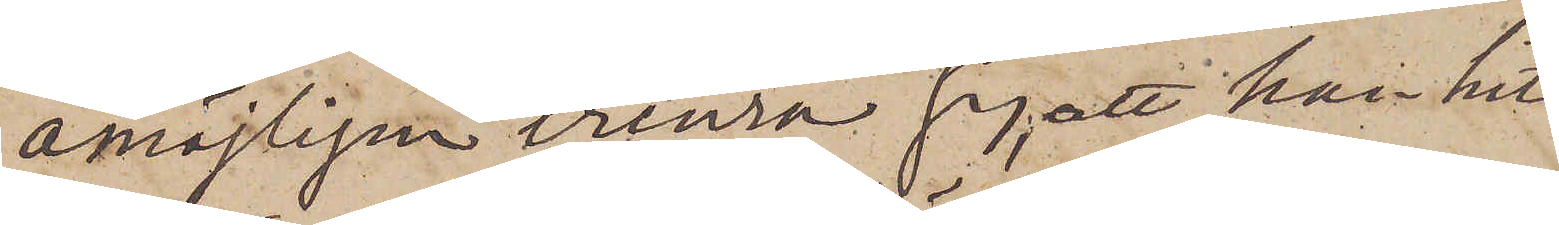omöjligen erinra sig, att han hit
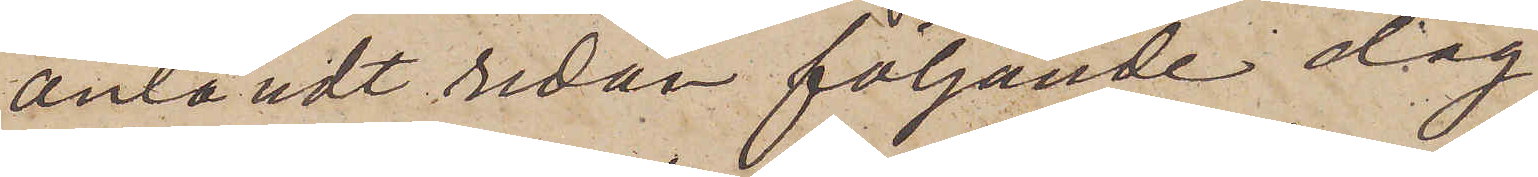anländt redan följande dag
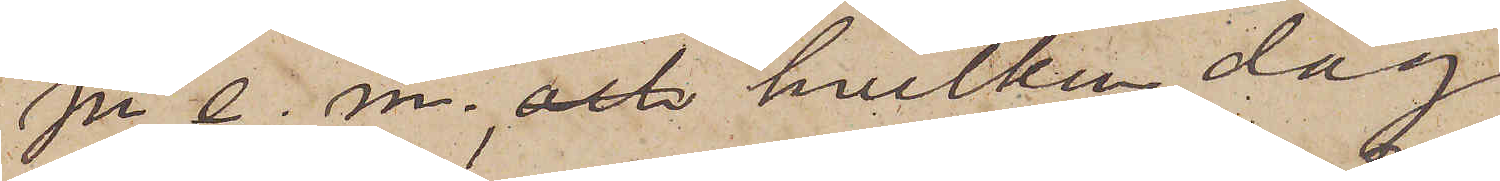på e. m. och hvilken dag
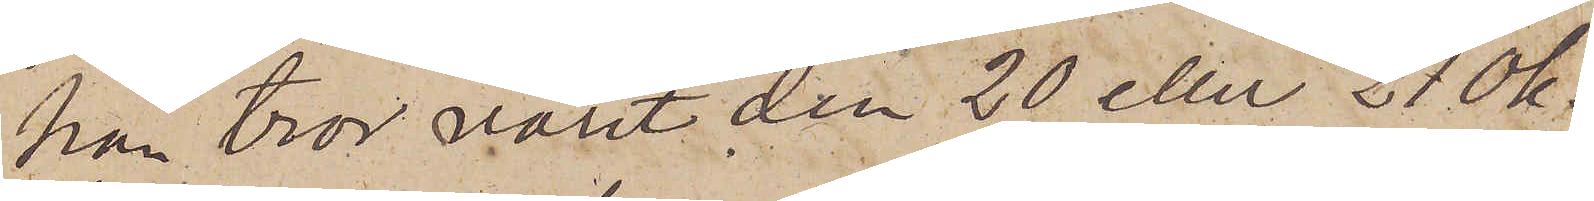han tror varit den 20 eller 21 Ok¬
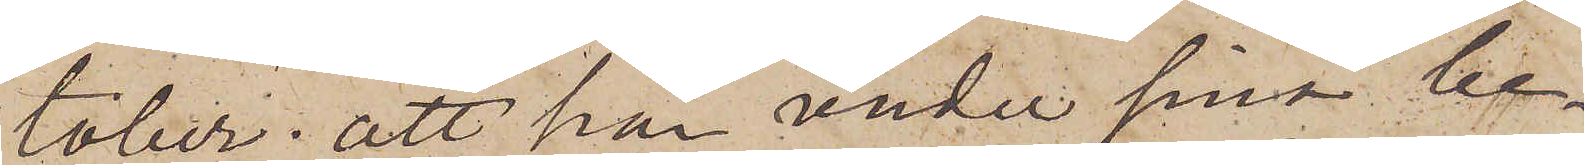tober; att han under sina be¬
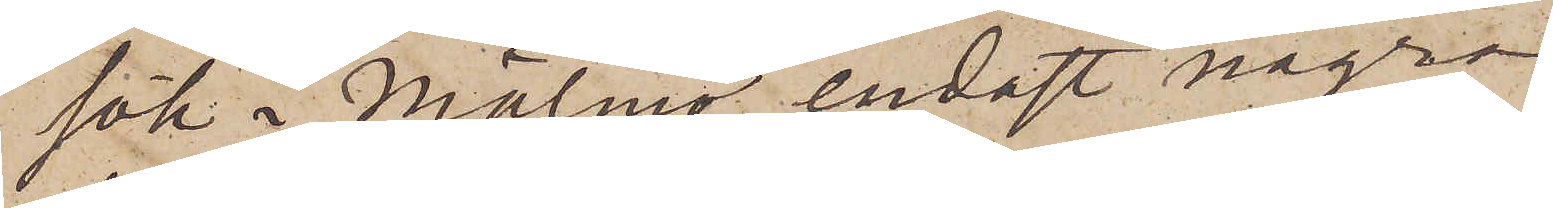sök i Malmö endast några
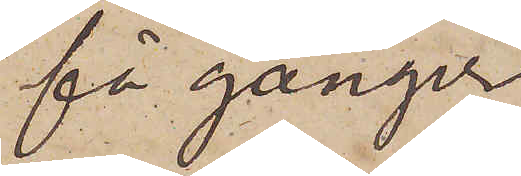få gånger
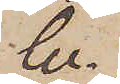be¬
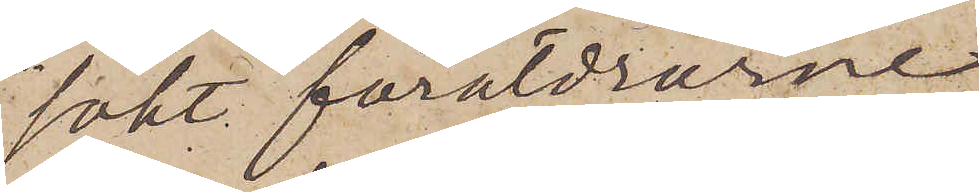sökt föräldrarne,
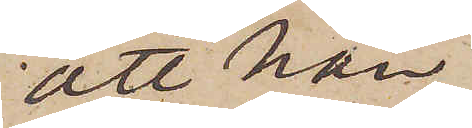att han
